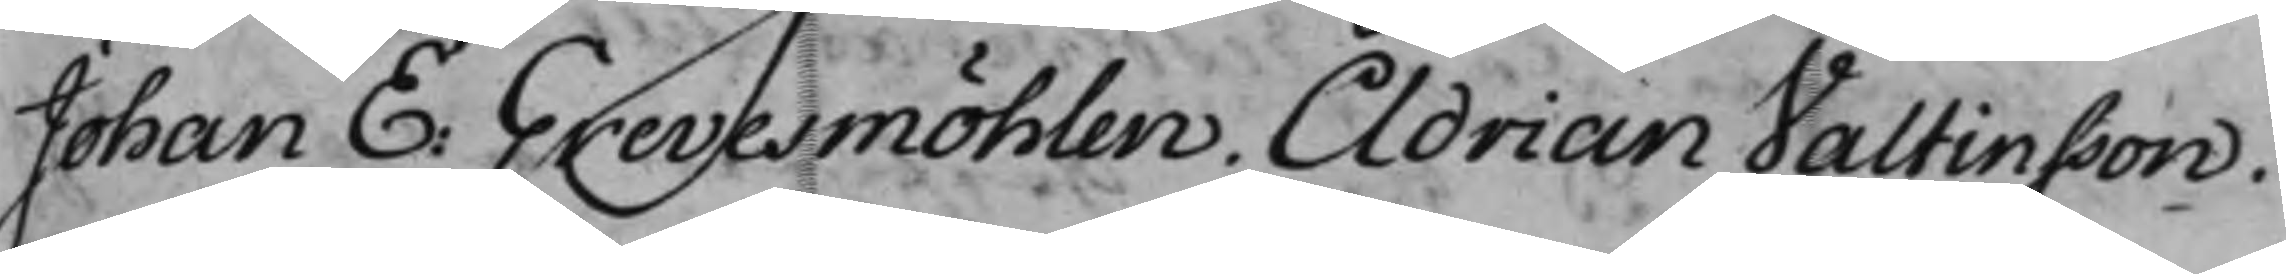Johan E: Grevesmöhlen. Adrian Valtinsson.
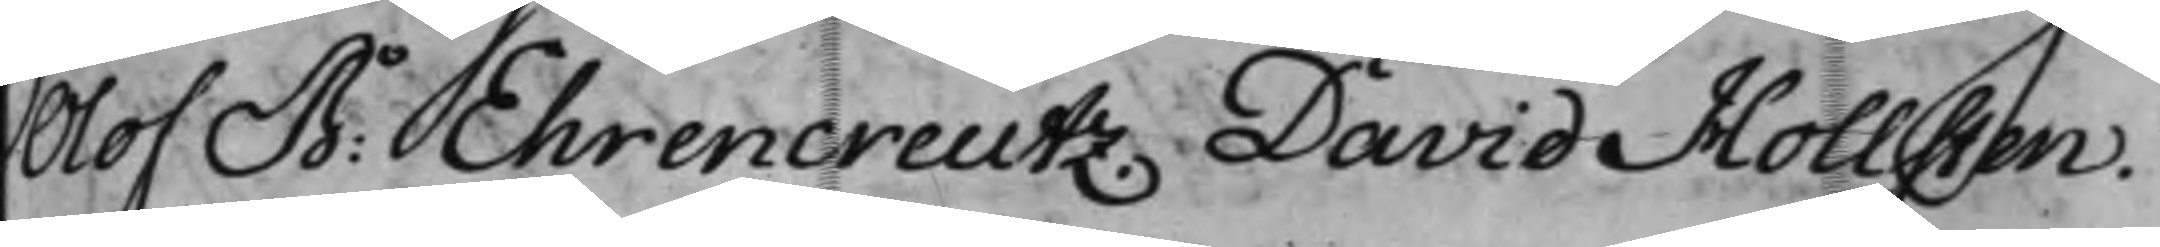Olof B: Ehrencreutz. David Hollsten.
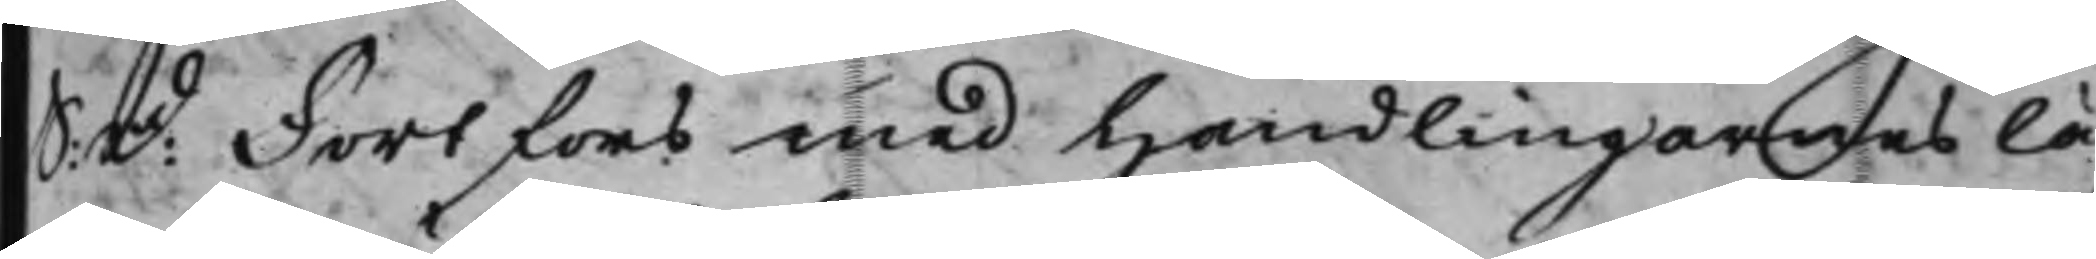S: D: Fortfors med handlingarnes lä¬
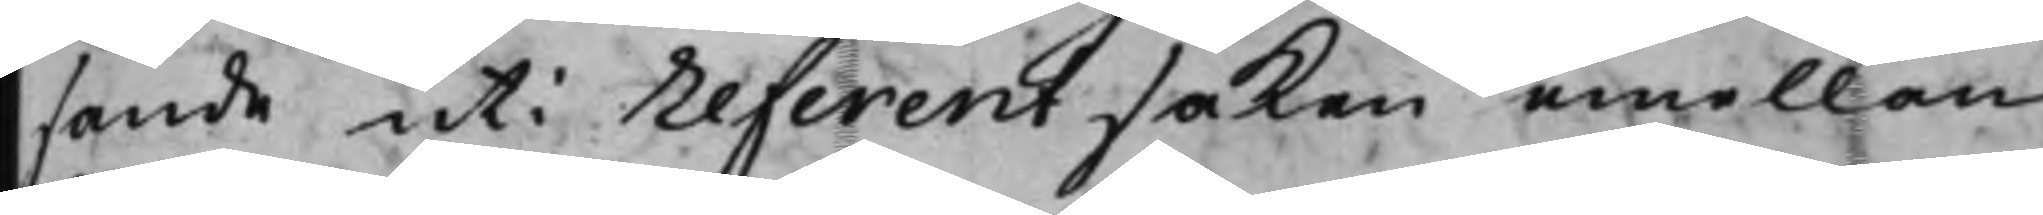sande uti referentsaken emellan
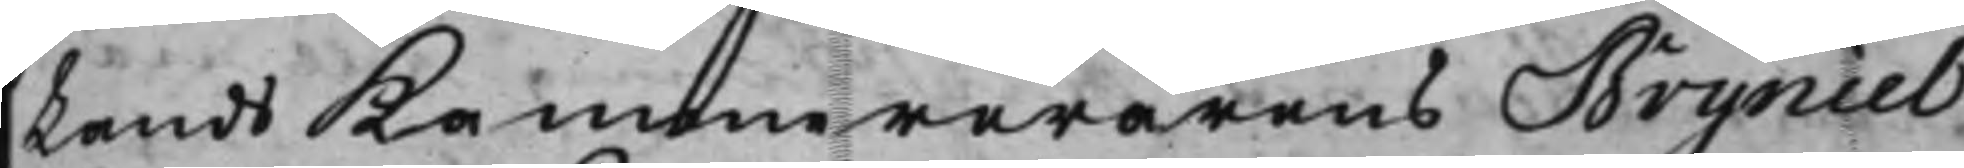Lands Kammererarens Bryniel
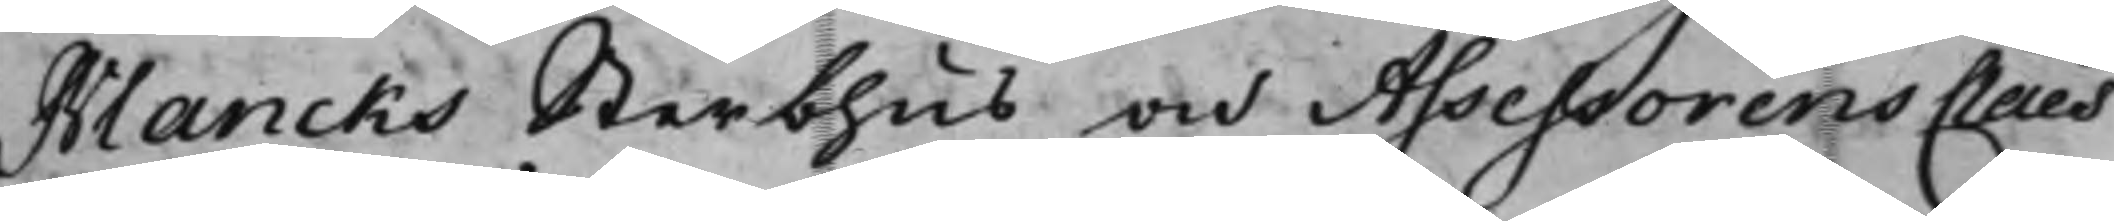Blancks Sterbhus och Assessorens Claes
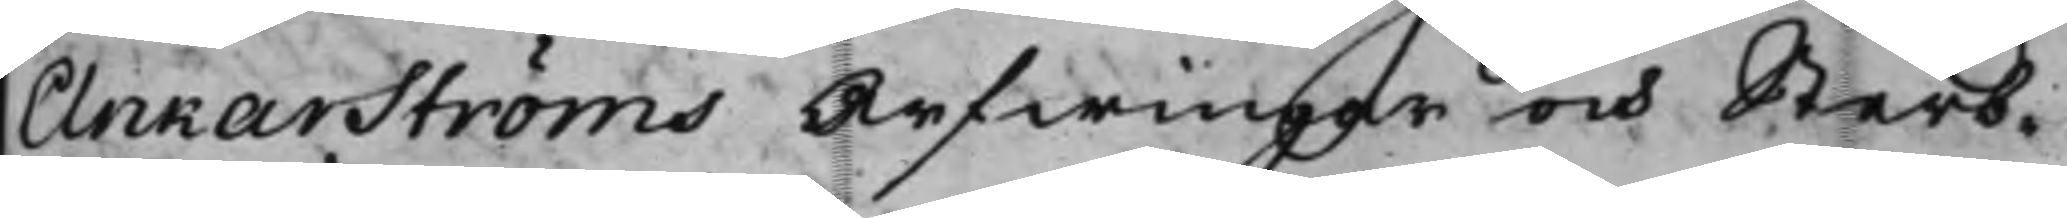Ankarströms Arfwingar och Sterb¬
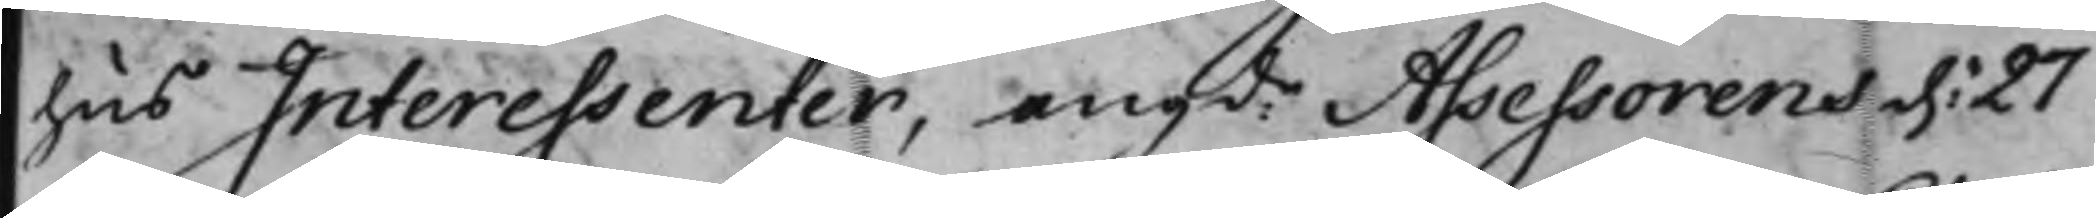hus Interessenter, angde Assessorens d: 27
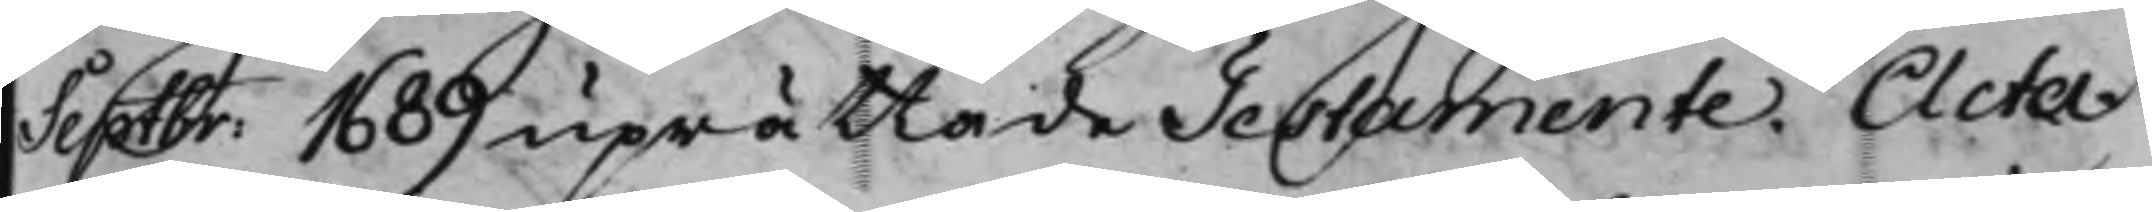Septbr: 1689 uprättade Testamente. Acta
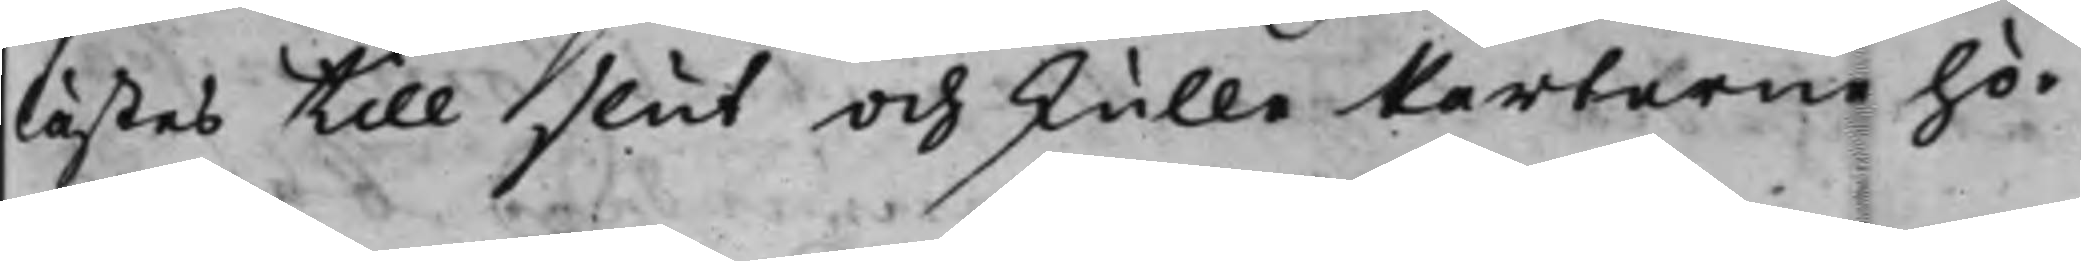lästes till slut och skulle Parterne hö¬
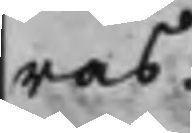ras.
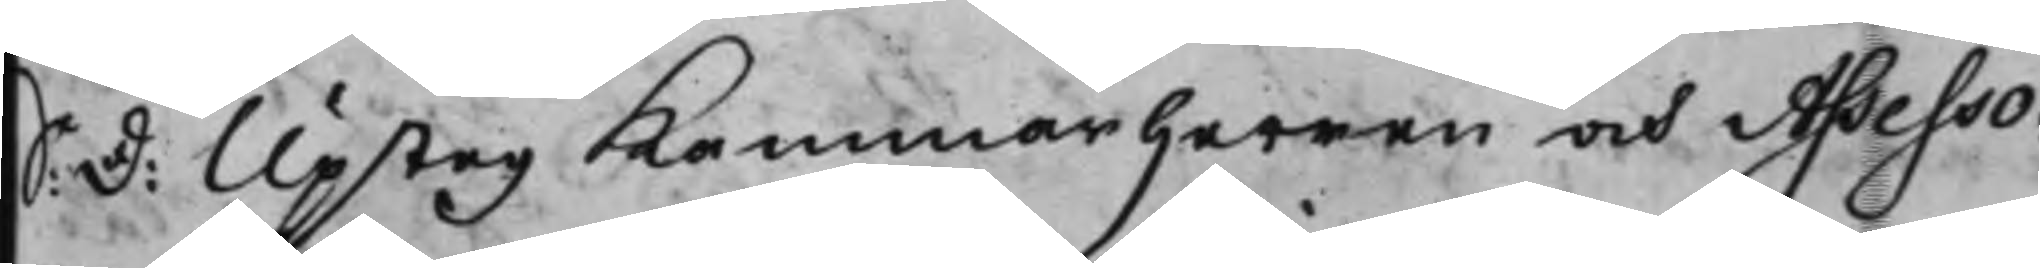S: d: Upsteg Kammarherren och Assesso¬
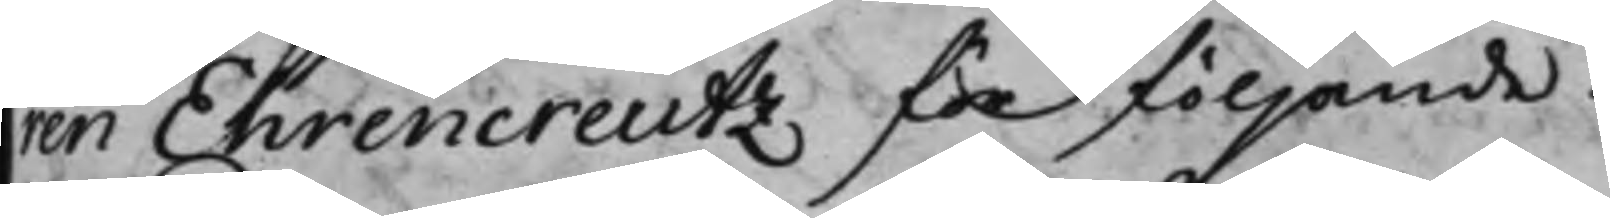ren Ehrencreutz för följande.
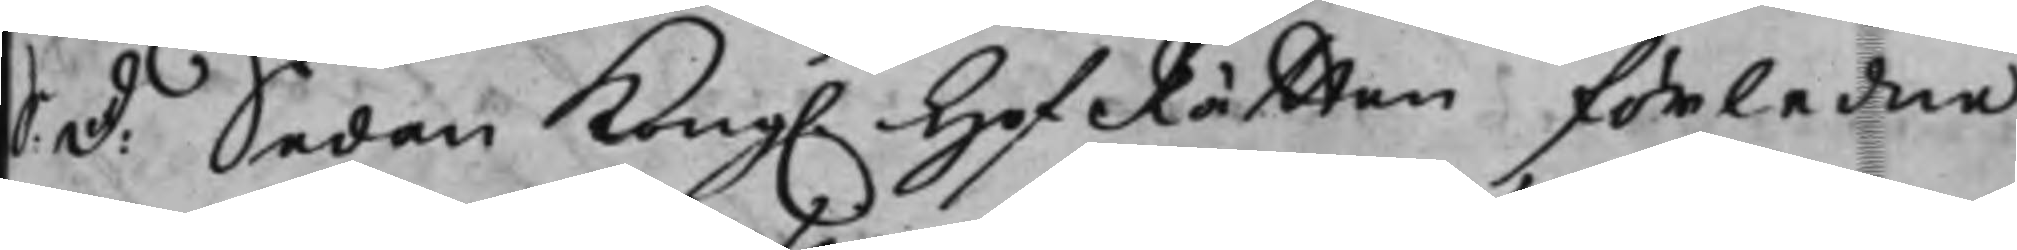S: d: Sedan Kong. HofRätten förledne
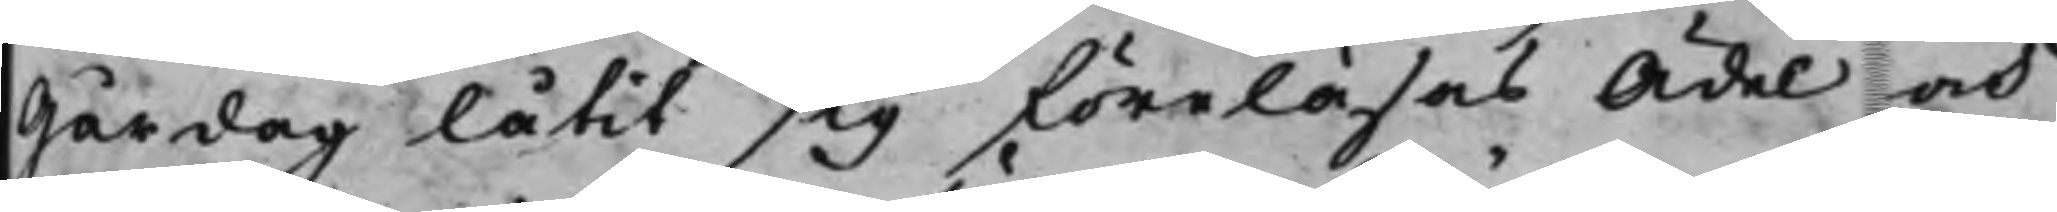Gårdag låtit sig föreläsas Ädel och
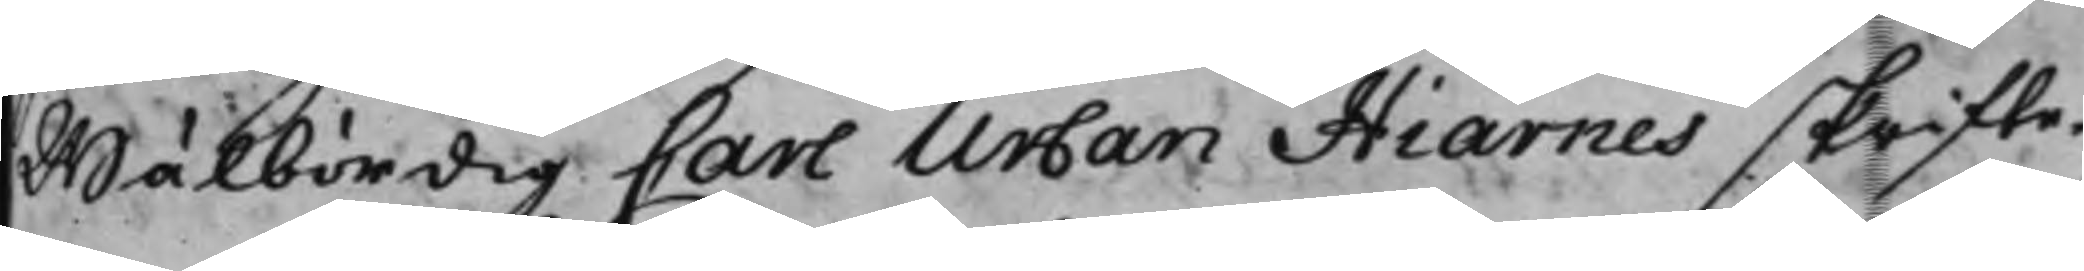Wälbördig Carl Urban Hiärnes skrifte¬
